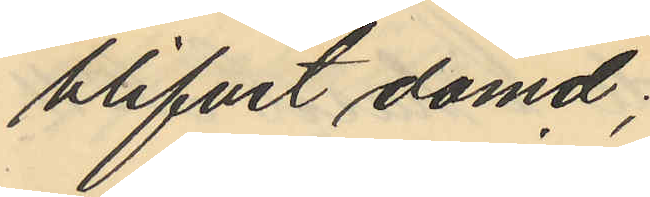blifvit dömd;
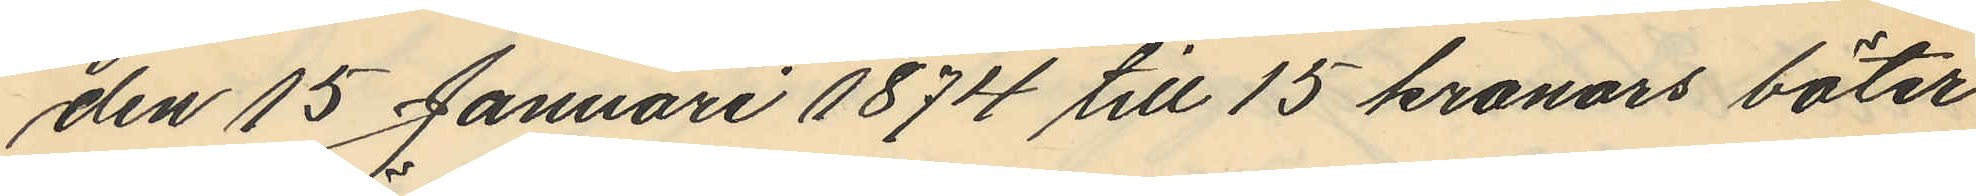den 15 Januari 1874 till 15 kronors böter
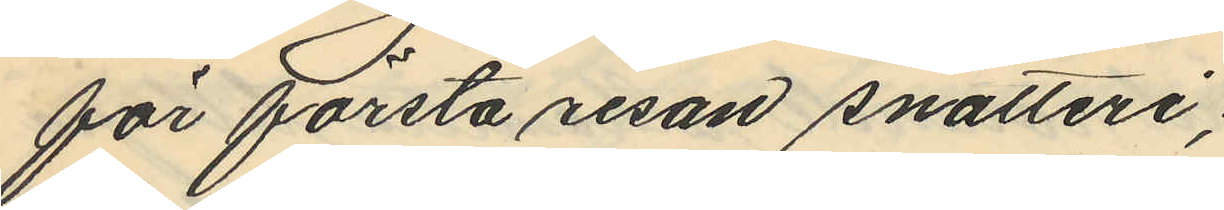för första resan snatteri,
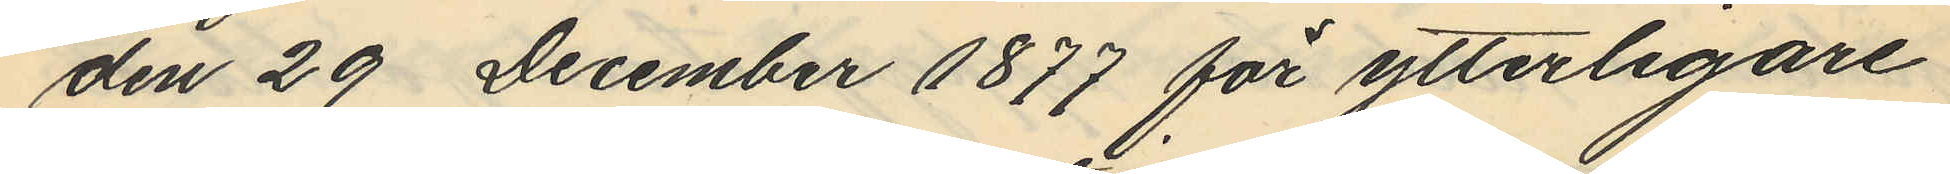den 29 December 1877 för ytterligare
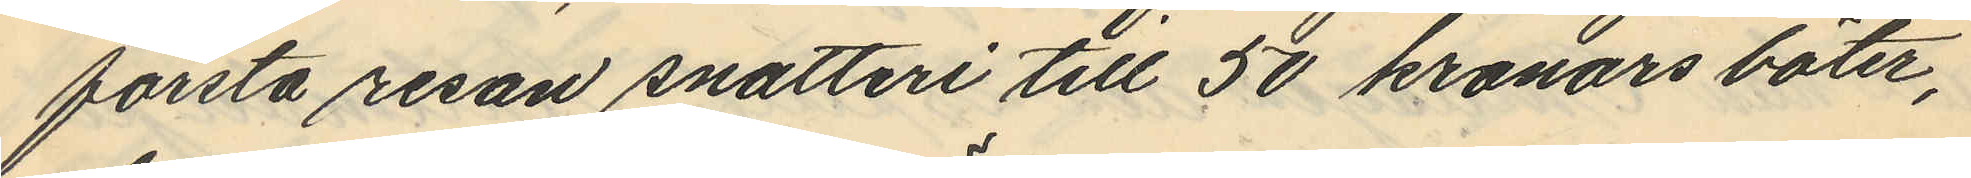första resan snatteri till 50 kronors böter,
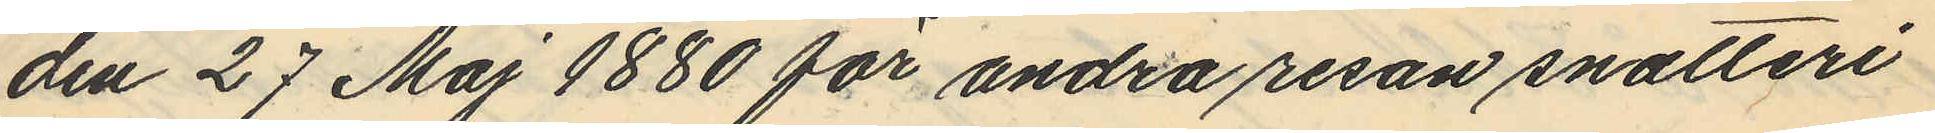den 27 Maj 1880 för andra resan snatteri
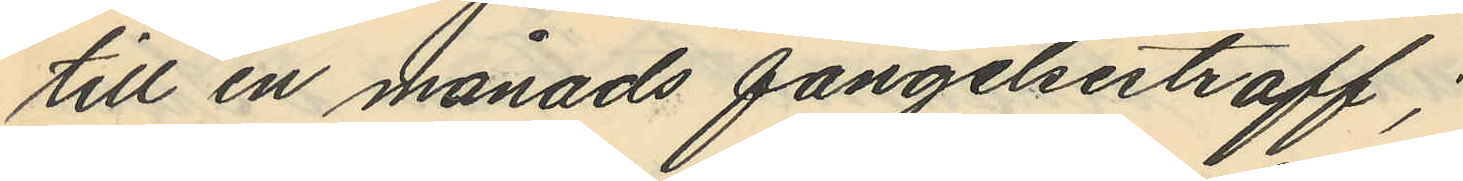till en månads fängelsestraff;
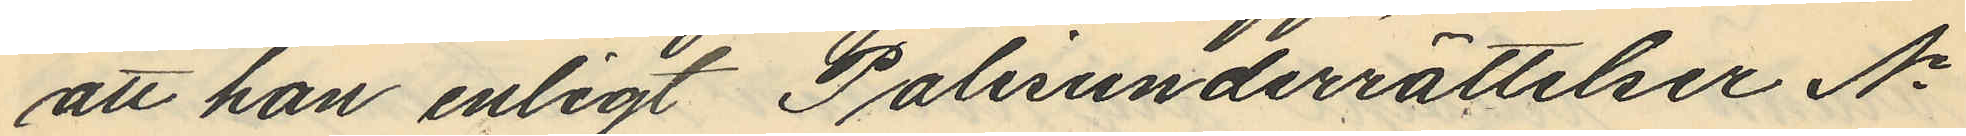att han enligt Polisunderrättelser No
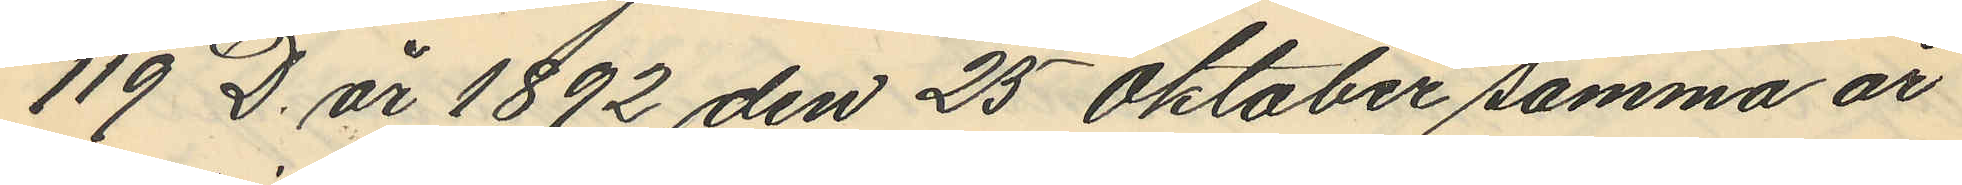119 D. år 1892 den 25 Oktober samma år
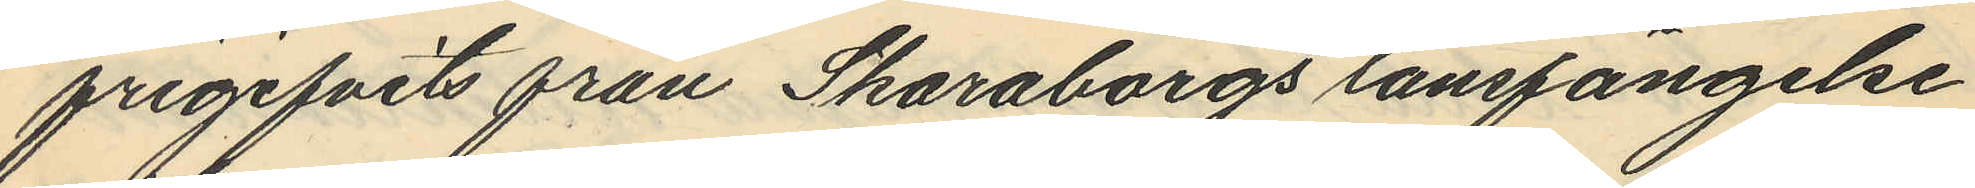frigifvits från Skaraborgs länsfängelse
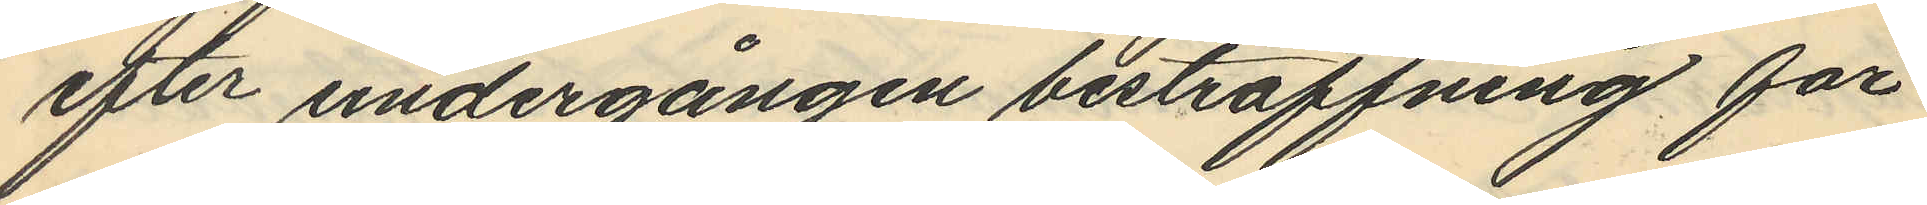efter undergången bestraffning för
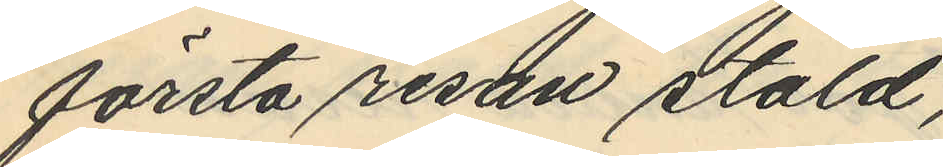första resan stöld,
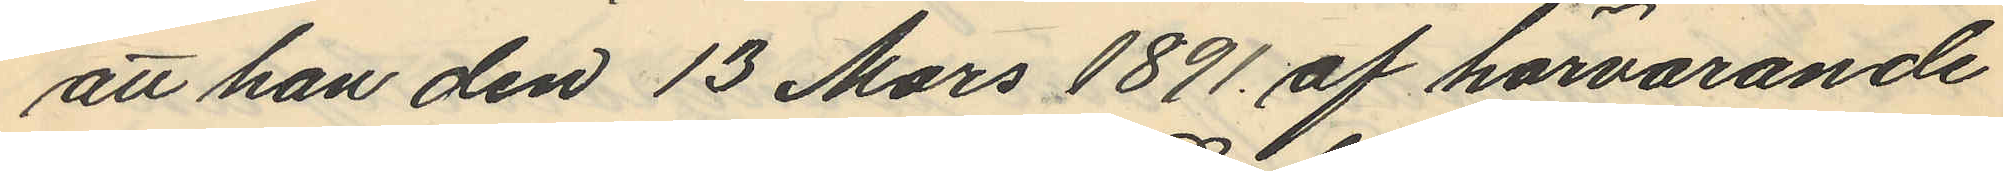att han den 13 Mars 1891 af härvarande
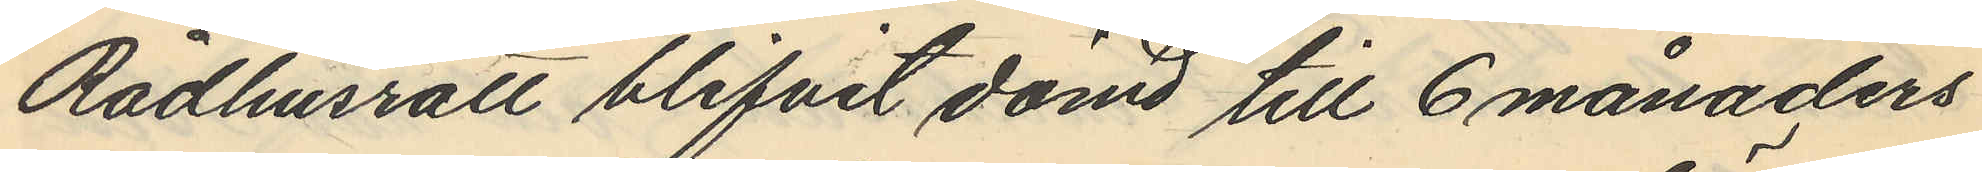Rådhusrätt blifvit dömd till 6 månaders
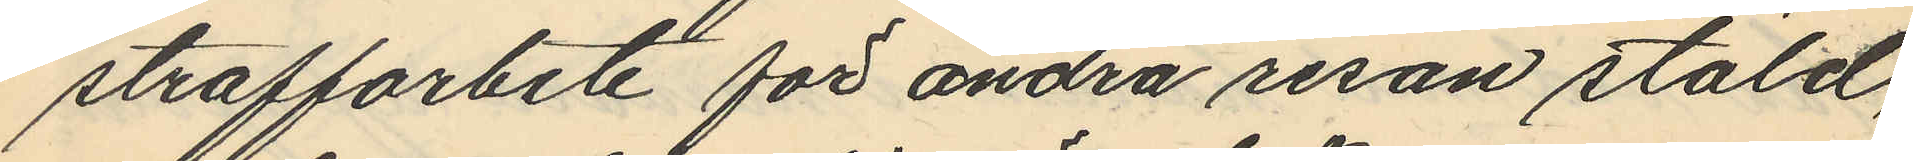straffarbete för andra resan stöld,
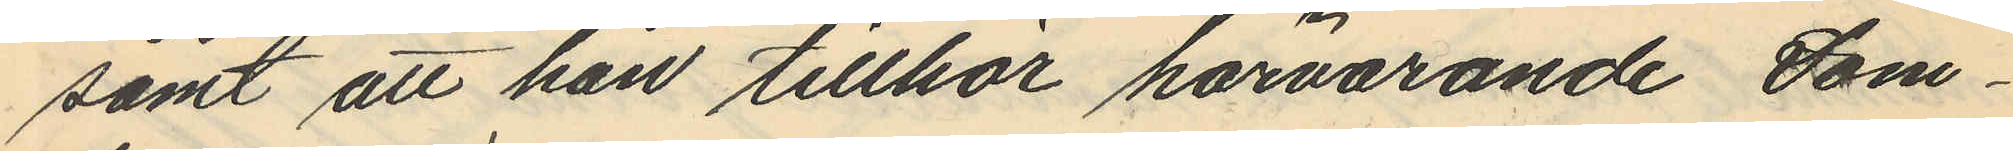samt att han tillhör härvarande Dom¬
